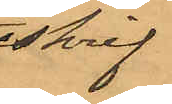skrif¬
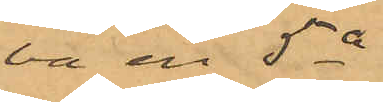vit en 5a
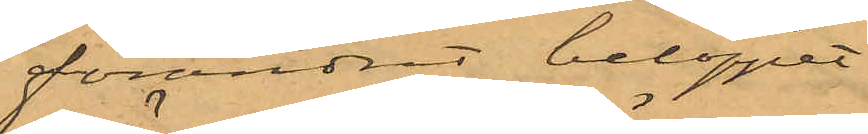förändrat beloppet
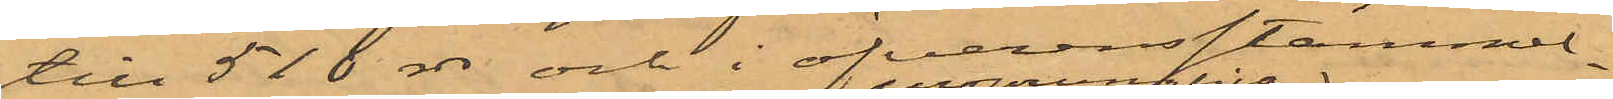till 516 rdr och i öfverensstämmel¬
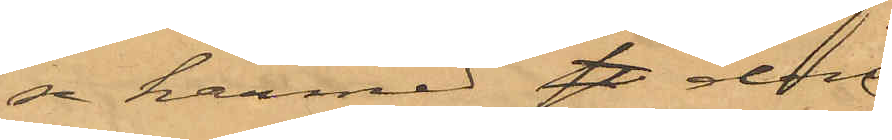se härmed den
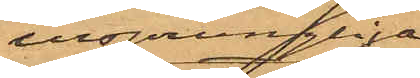insprungliga
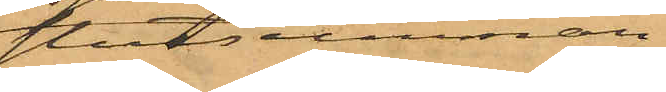slutsumman
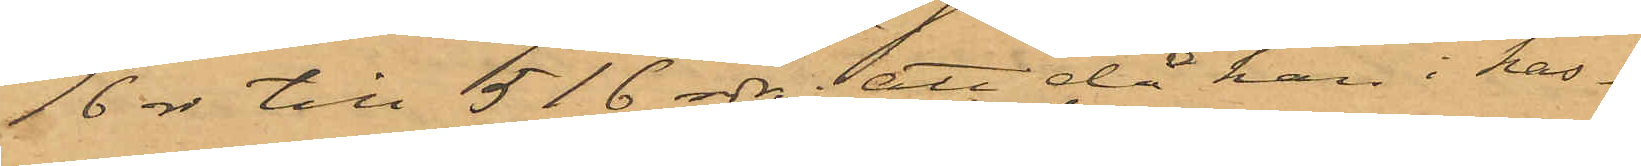16 rdr till 516 rdr; att då han i kas¬
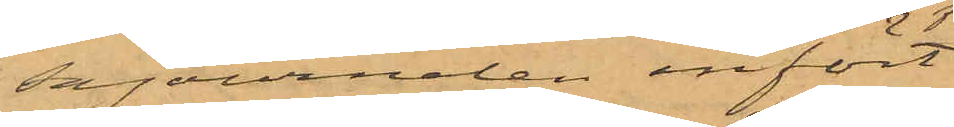sajournalen infört
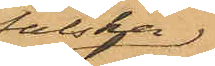falska
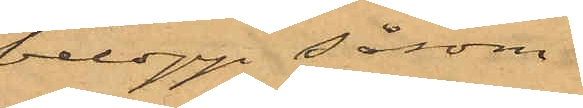belopp såsom
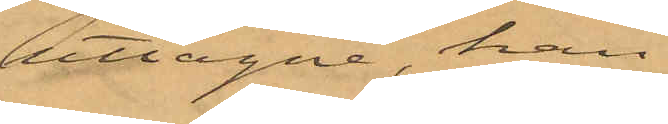uttagne, han
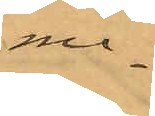me¬
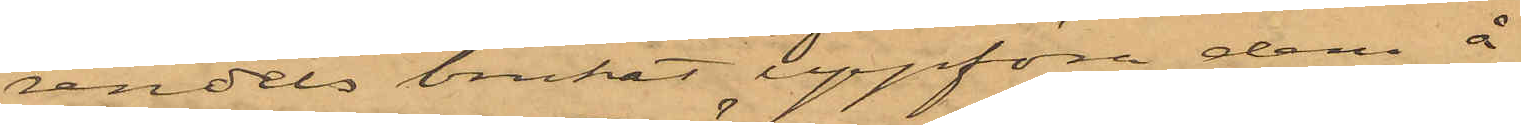rendels brukat uppföra dem å
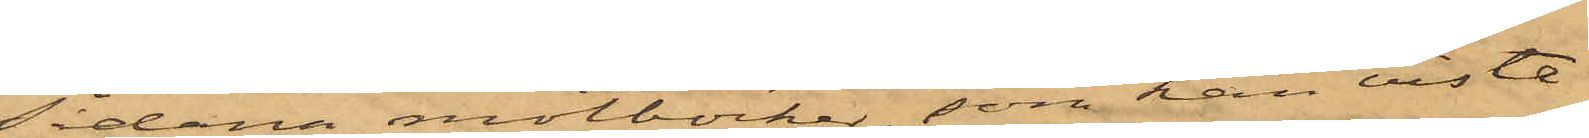sådana motböcker, som han visste
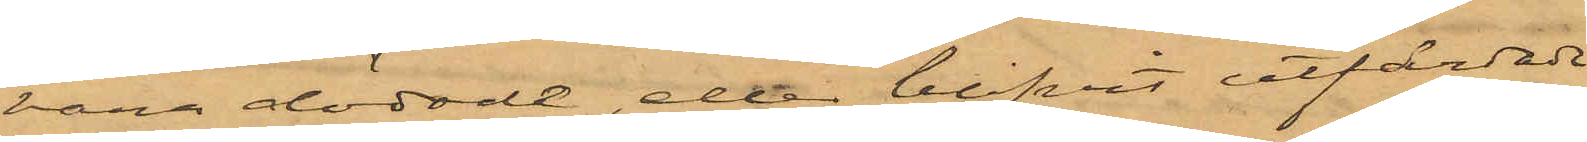vara dödade, eller blifvit utfärdade
